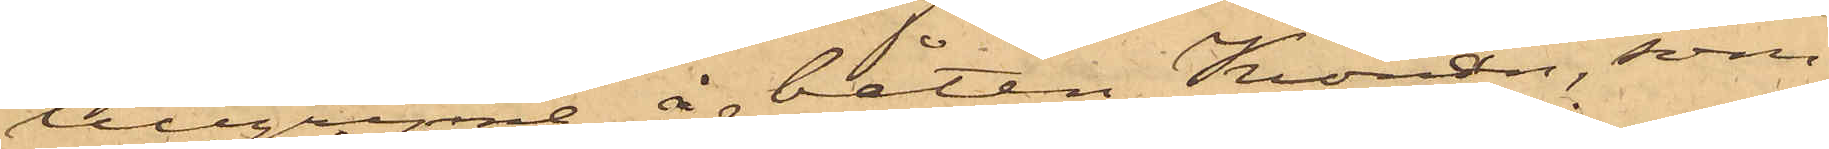tillgripne å båten Kronan, som
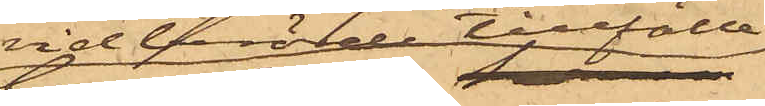vid berörde tillfälle
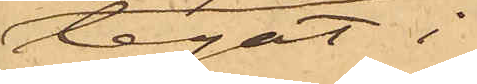legat i
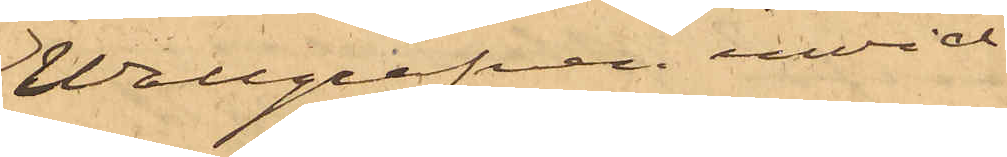Wallgrafven invid
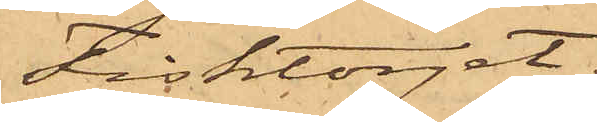Fisktorget.
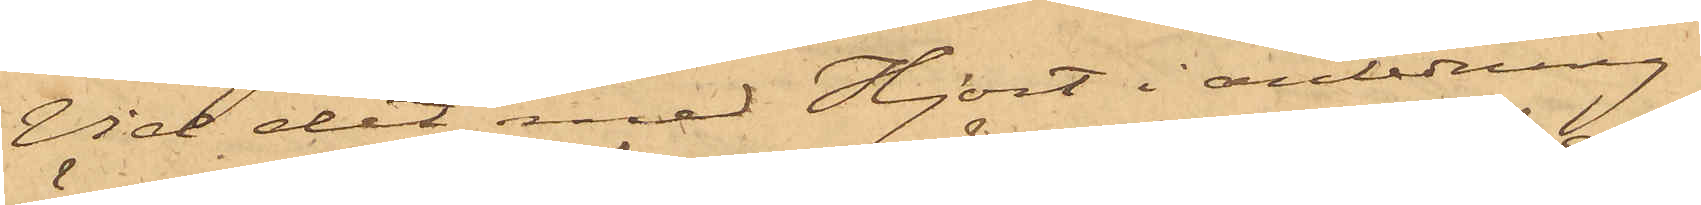Vid det med Hjort i anledning
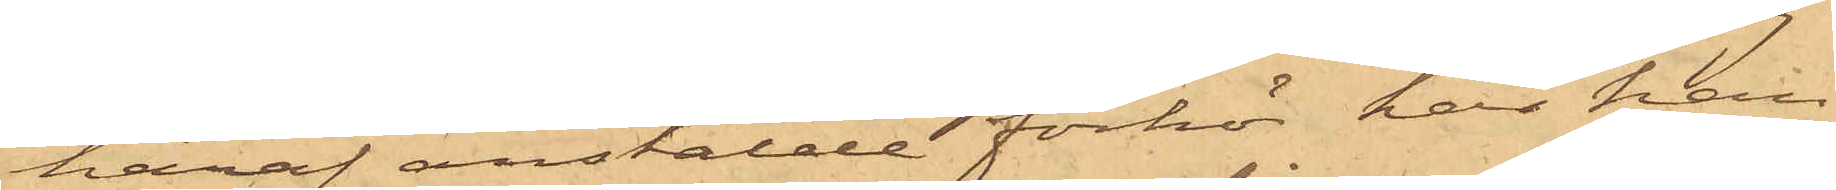häraf anstälde förhör har han
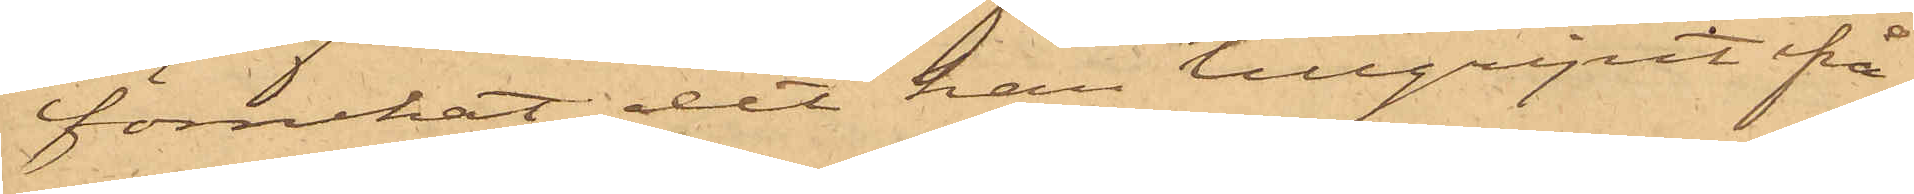förnekat det han tillgripit ifrå¬
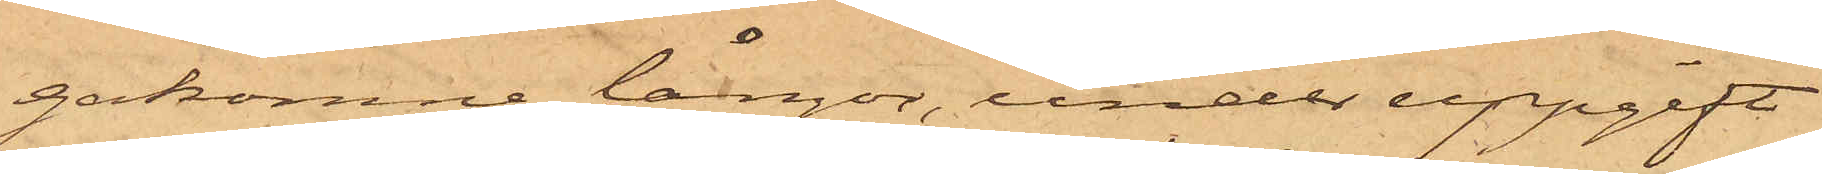gakomne långor, under uppgift
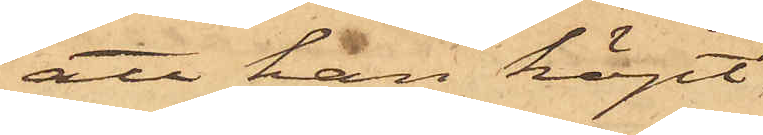att han köpt
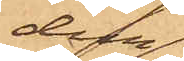dem
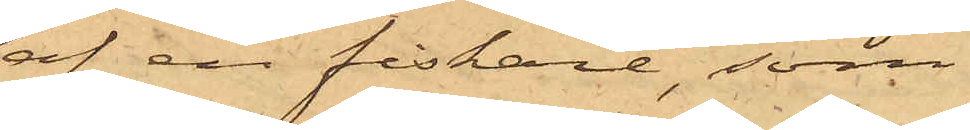af en fiskare, som
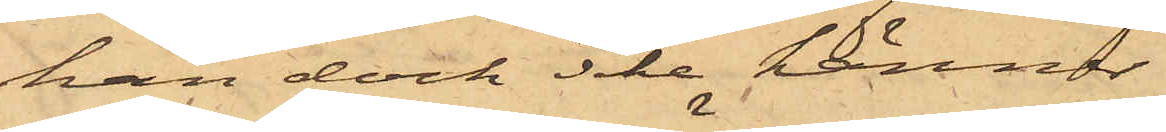han dock icke känner.
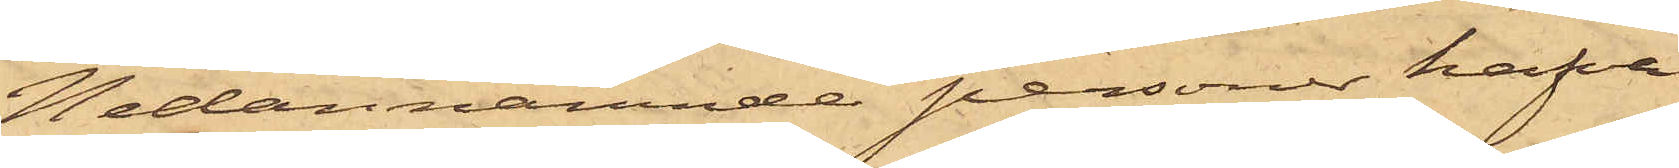Nedannämnde personer hafva
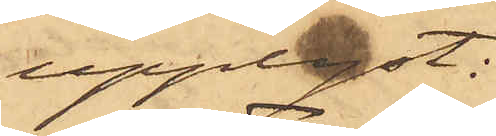upplyst:
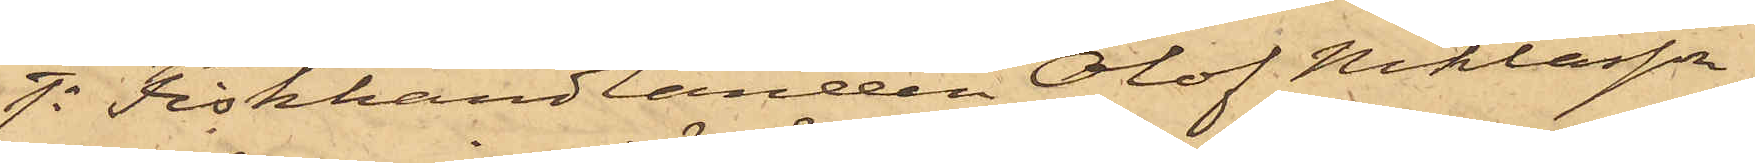1o Fiskhandlanden Olof Niklasson,
